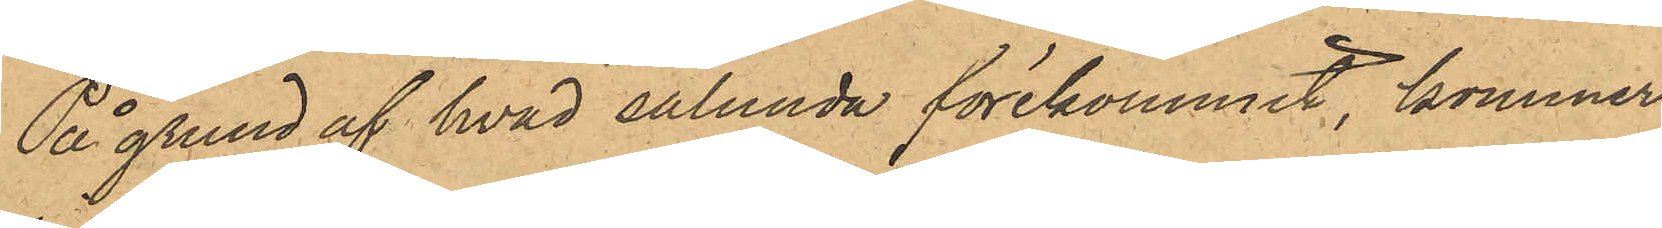På grund af hvad sålunda förekommit, kommer
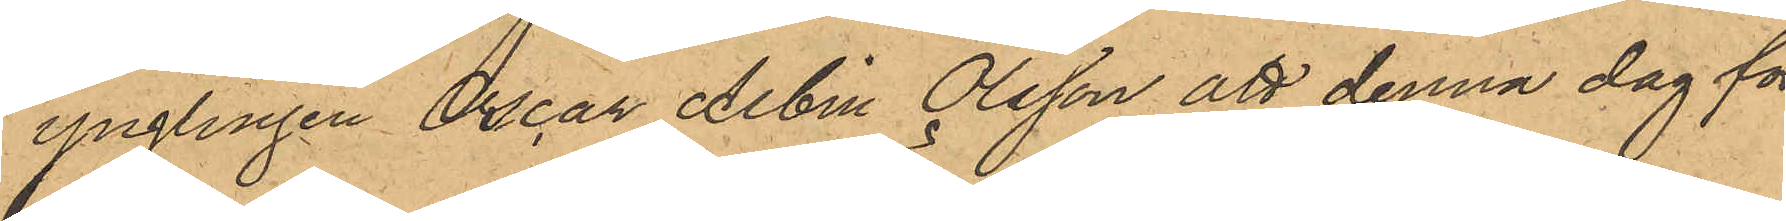ynglingen Oscar Albin Olsson att denna dag för
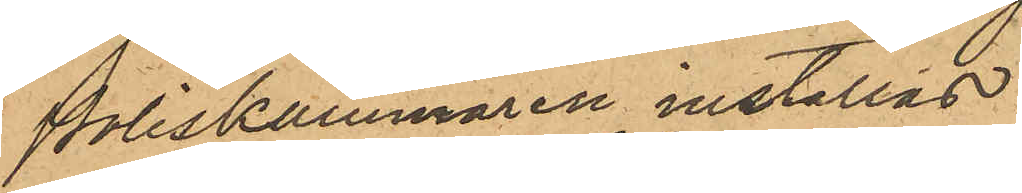Poliskammaren inställas.
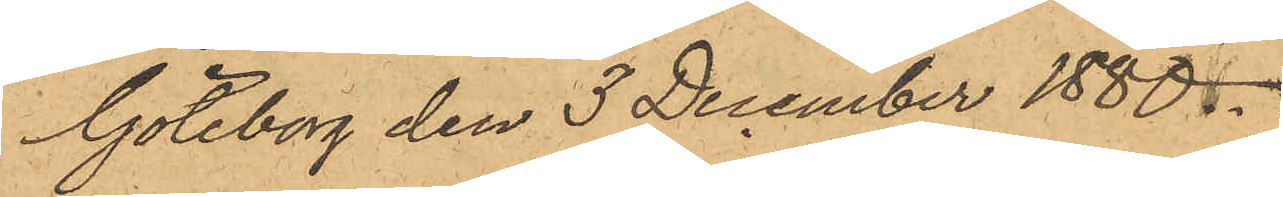Göteborg den 3 December 1880.
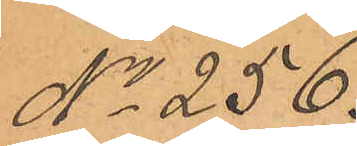No 256.
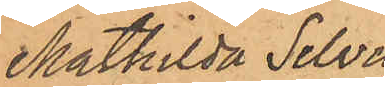Mathilda Selvig
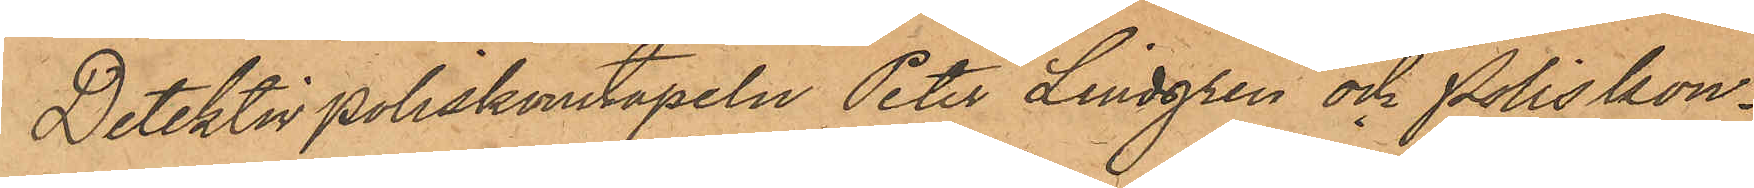Detektivpoliskonstapeln Peter Lindgren och Poliskon¬
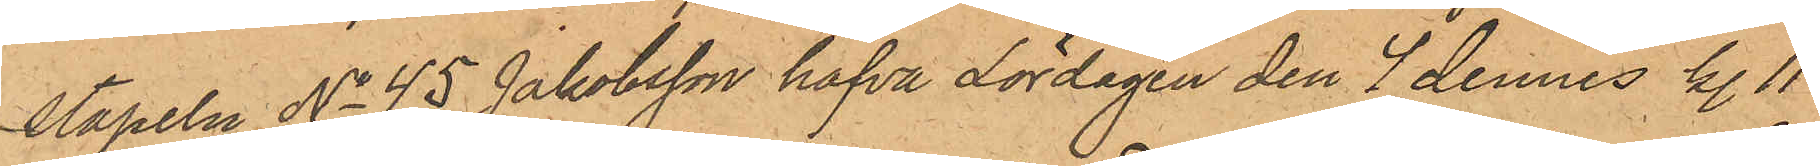stapeln No 45 Jakobsson hafva Lördagen den 4 dennes kl. 11
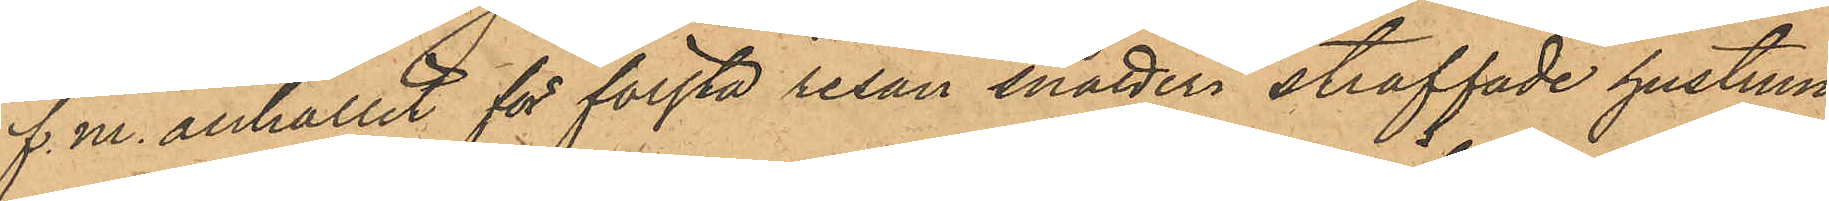f. m. anhållit för första resan snatteri straffade hustrun
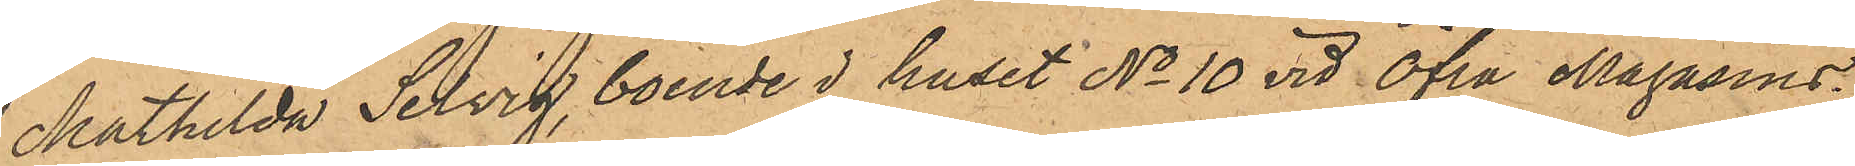Mathilda Selvig, boende i huset No 10 vid Öfra Magasins¬
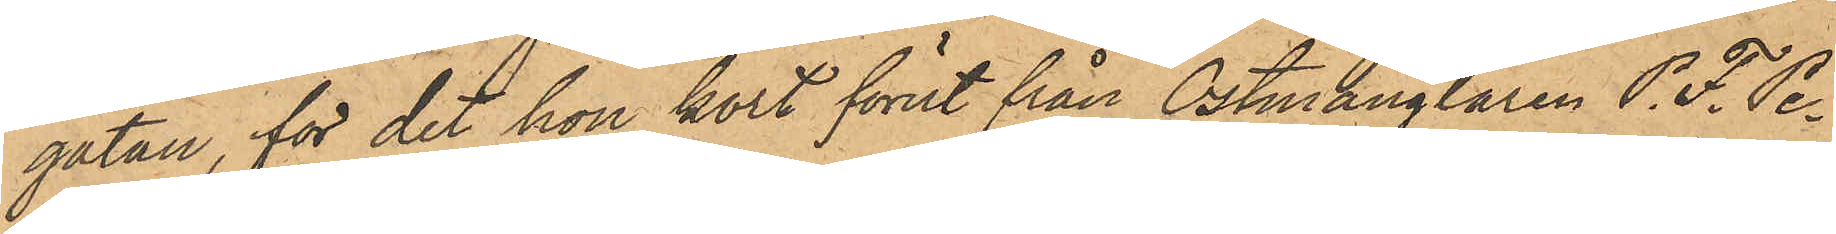gatan, för det hon kort förut från Ostmånglaren P. F. Pe¬
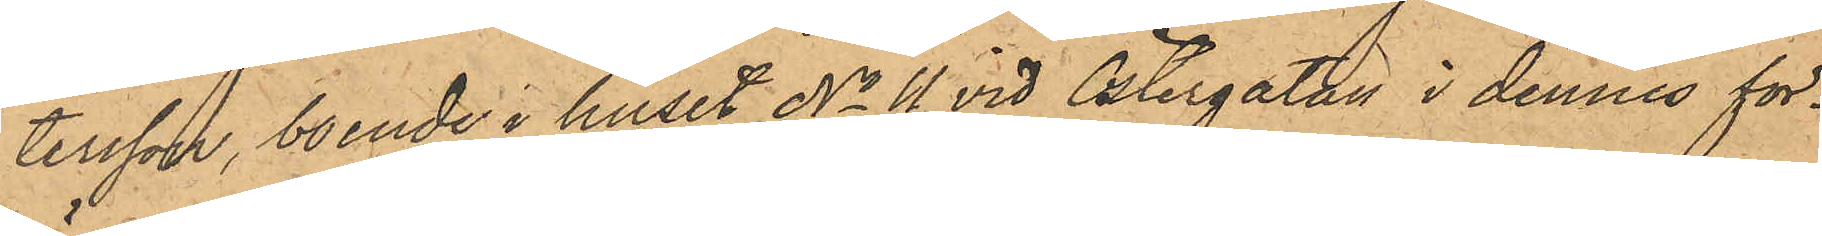tersson, boende i huset No 11 vid Östergatan i dennes för¬
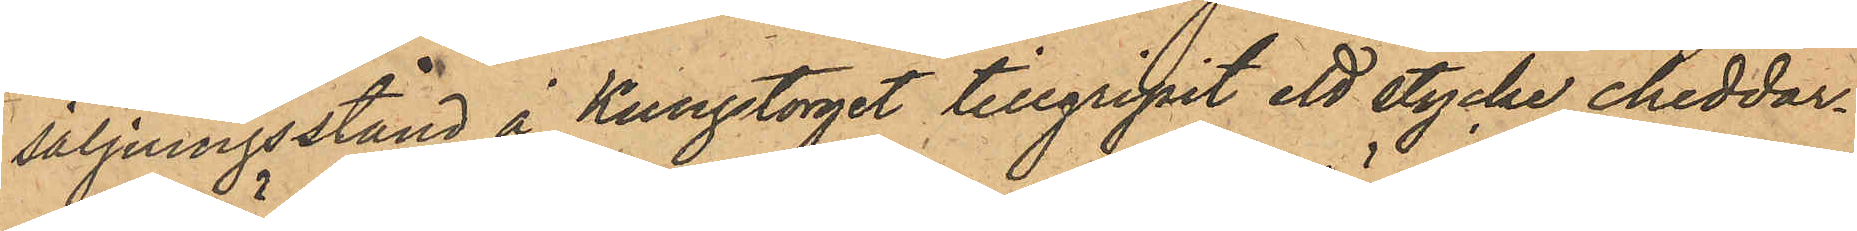säljningsstånd å Kungstorget tillgripit ett stycke cheddar¬
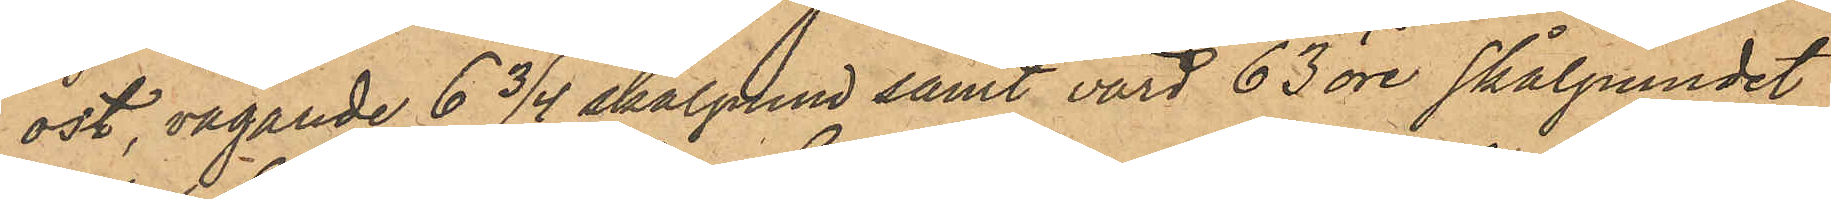ost, vägande 6 3/4 skålpund samt värd 63 öre skålpundet
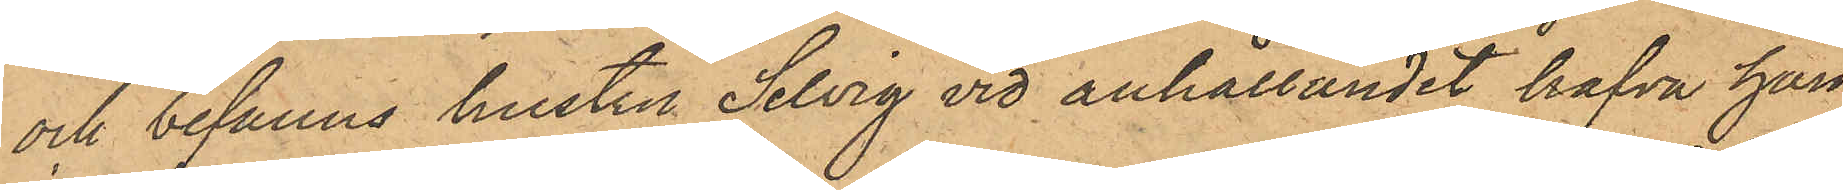och befanns hustru Selvig vid anhållandet hafva hän¬
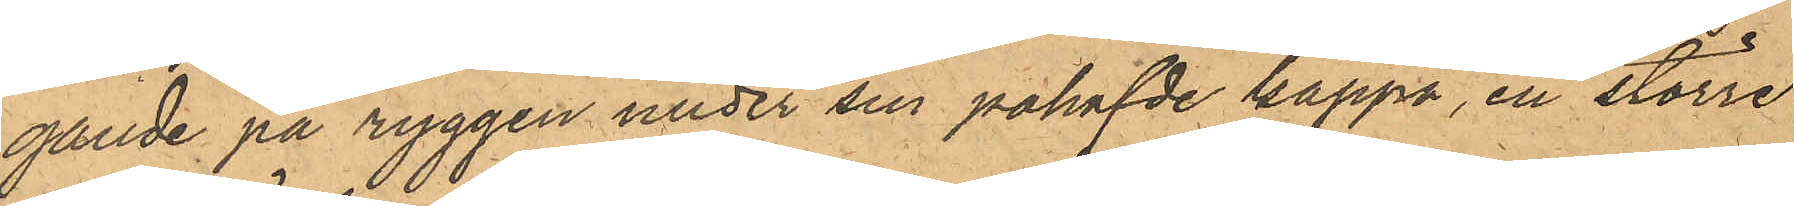gande på ryggen under sin påhafvde kappa, en större
